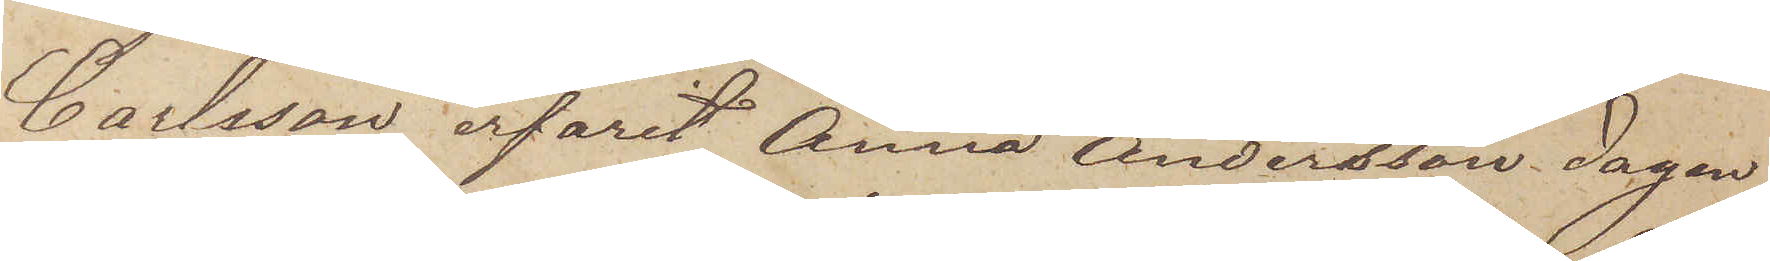Carlsson erfarit Anna Andersson dagen
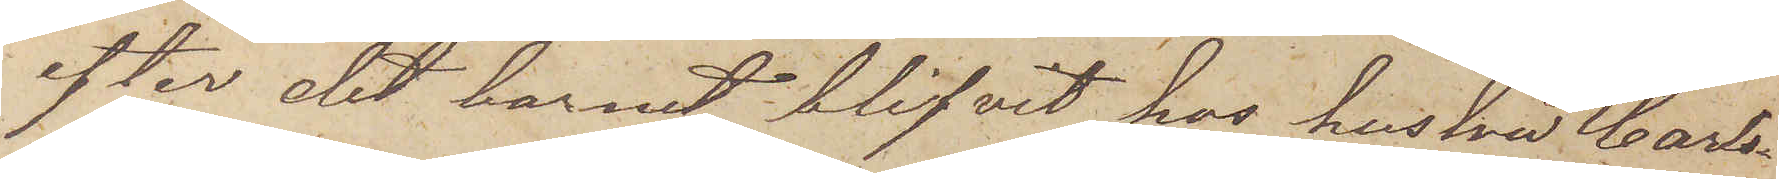efter det barnet blifvit hos hustrun Carls¬
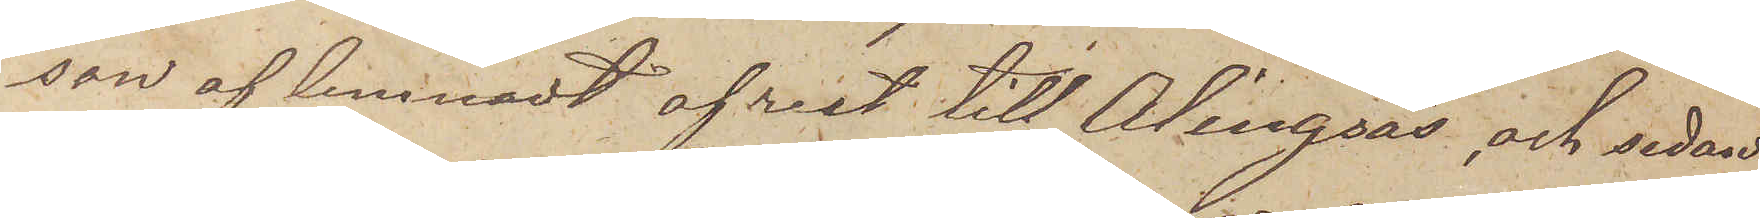son aflemnadt afrest till Alingsås och sedan
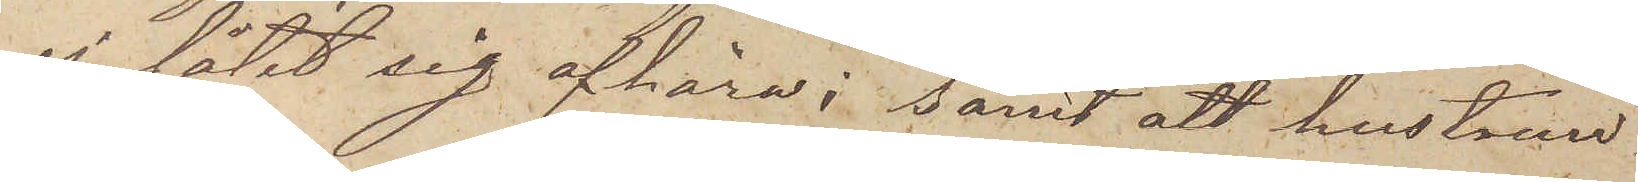ej låtit sig afhöra; samt att hustrun
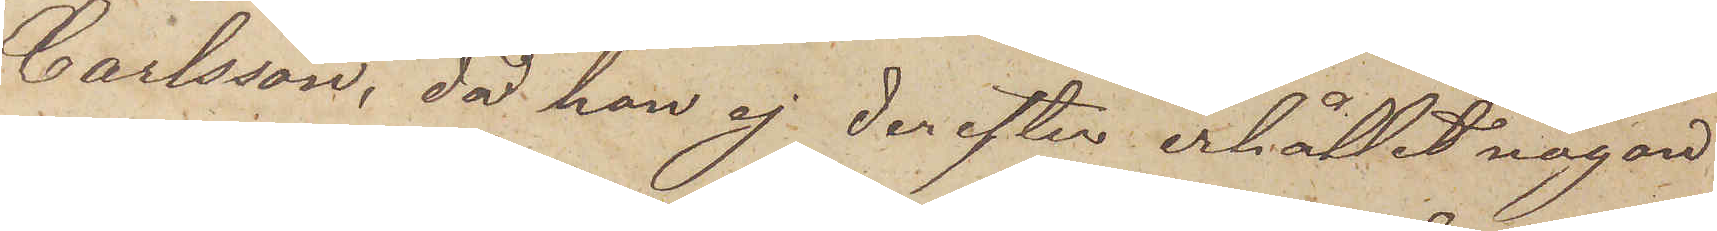Carlsson, då hon ej derefter erhållit någon
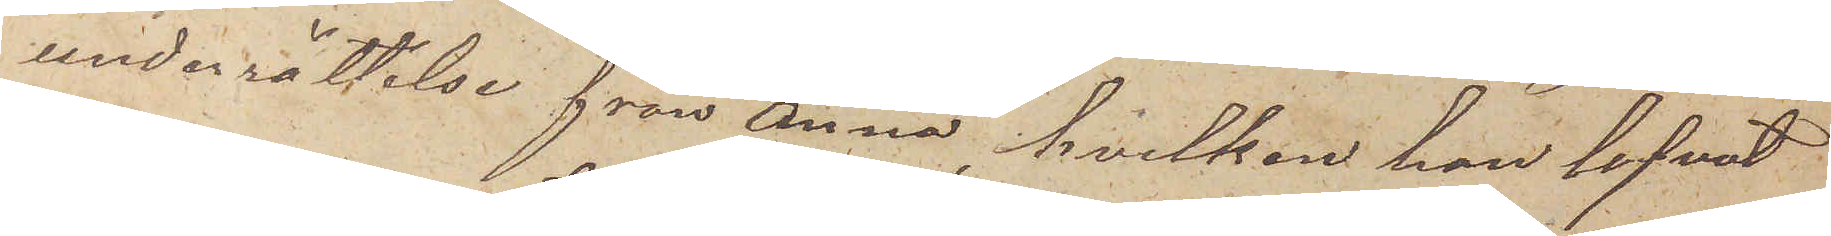underrättelse från Anna, hvilken hon lofvat
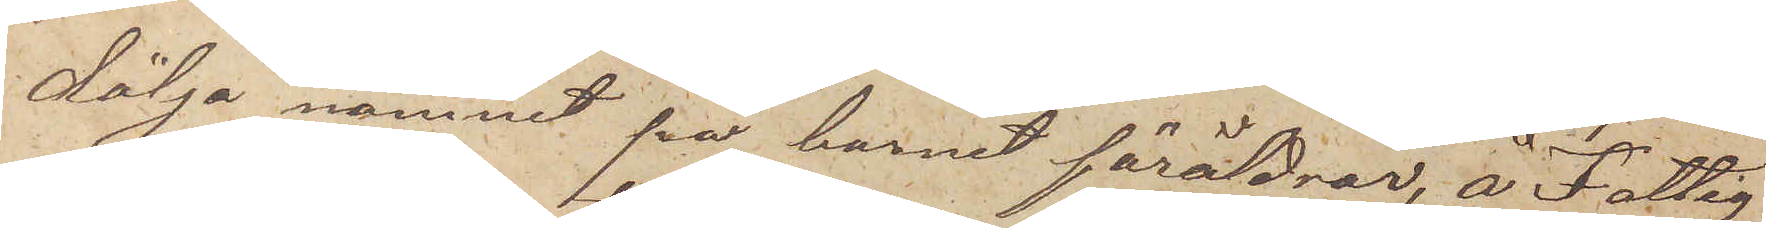dölja namnet på barnet föräldrar, å Fattig
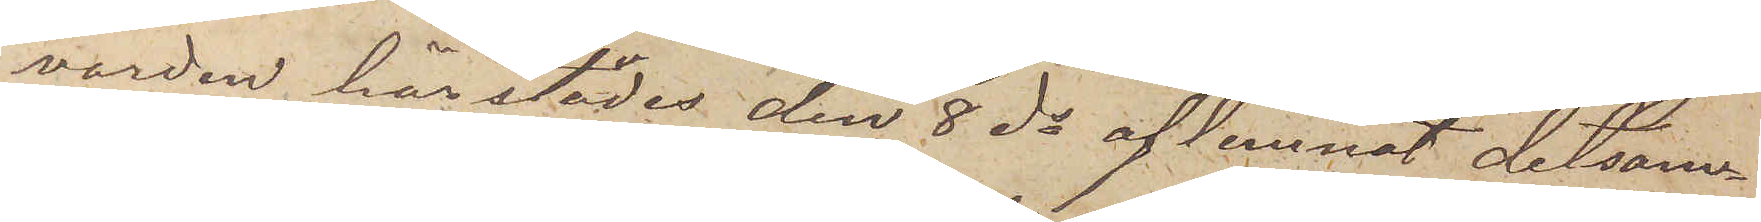vården härstädes den 8 ds aflemnat detsam¬
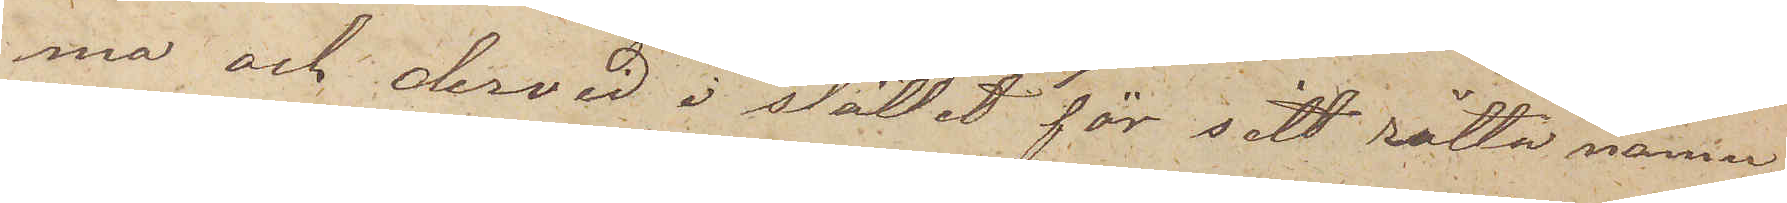ma och dervid i stället för sätt rätta namn
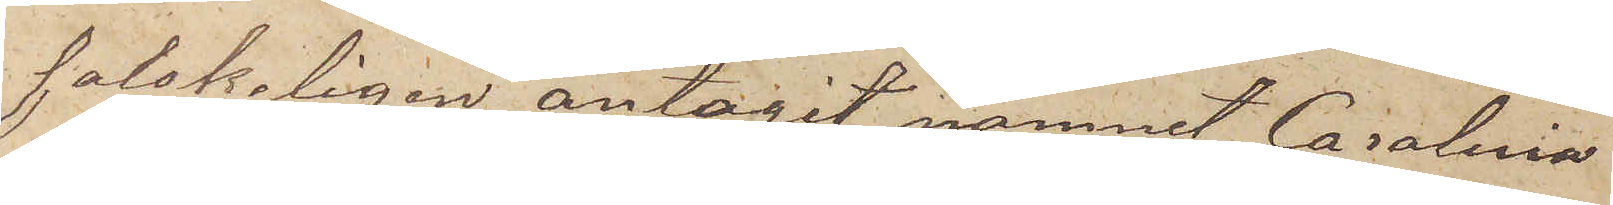falskeligen antagit namnet Carolina
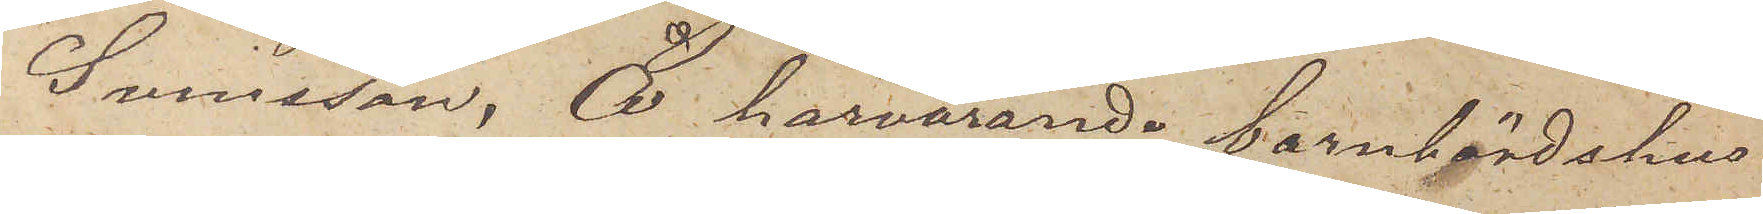Svensson. Å härvarande barnbördshus
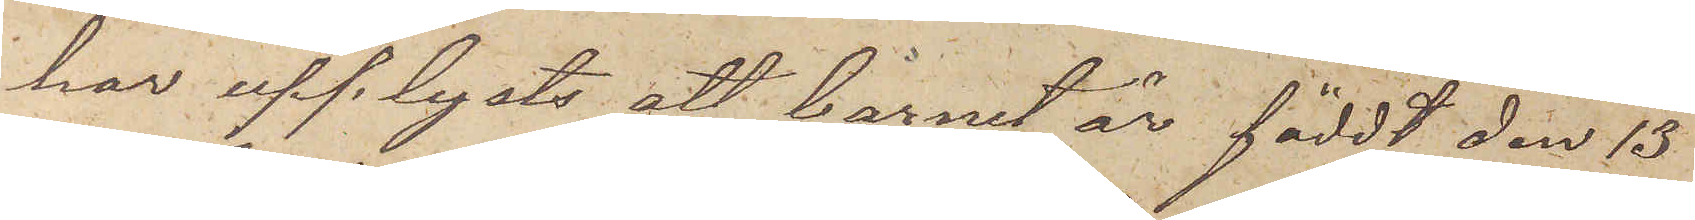har upplysts att barnet är föddt den 13
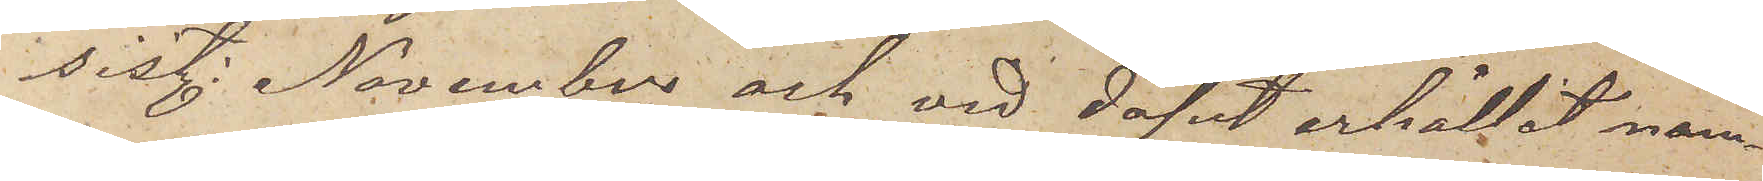sist. November och vid dopet erhållit näm¬
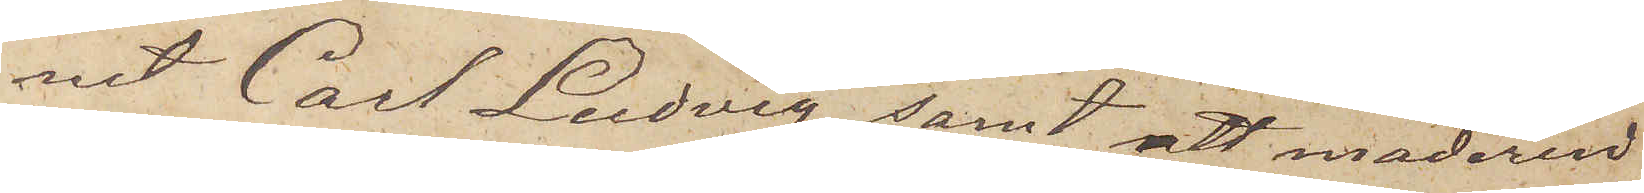net Carl Ludvig, samt att moderen
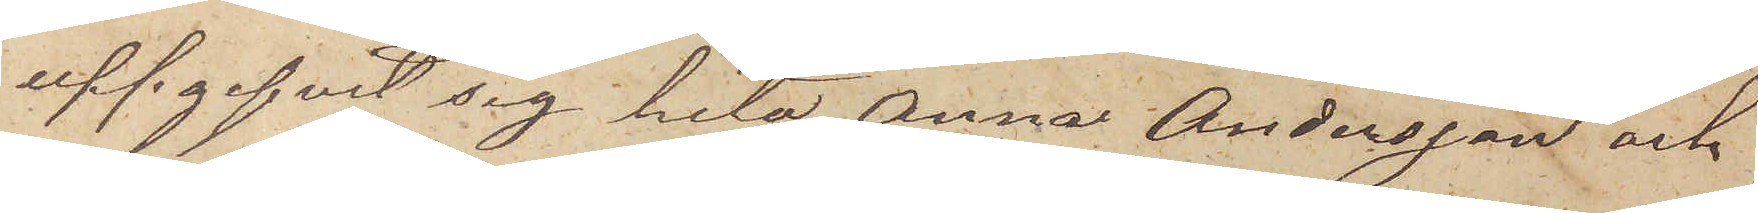uppgifvit sig heta Anna Andersson och
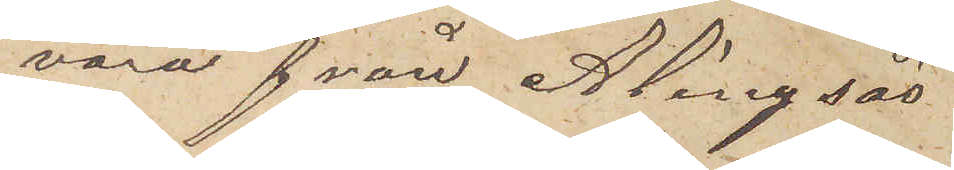vara från Alingsås.
